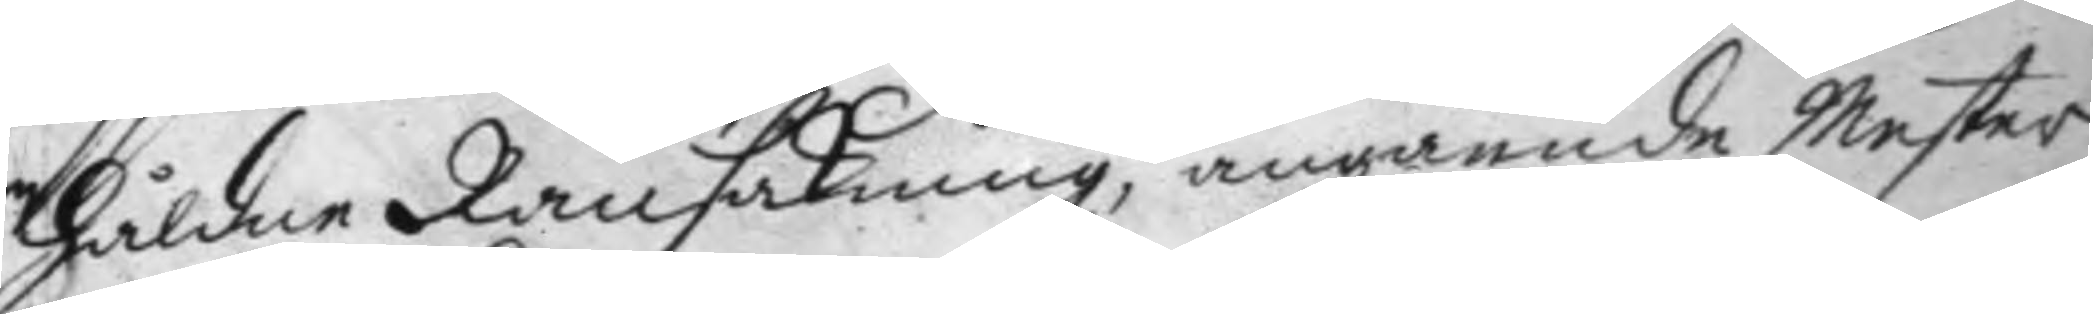håldne Ransakning, angående Mester
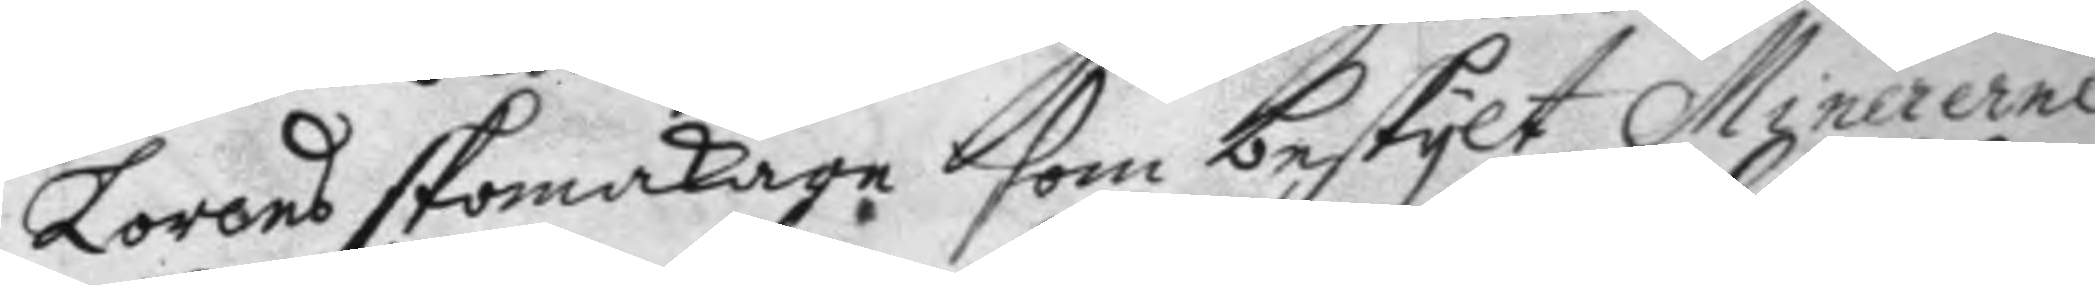Lorens skomakare som beskylt Minererne
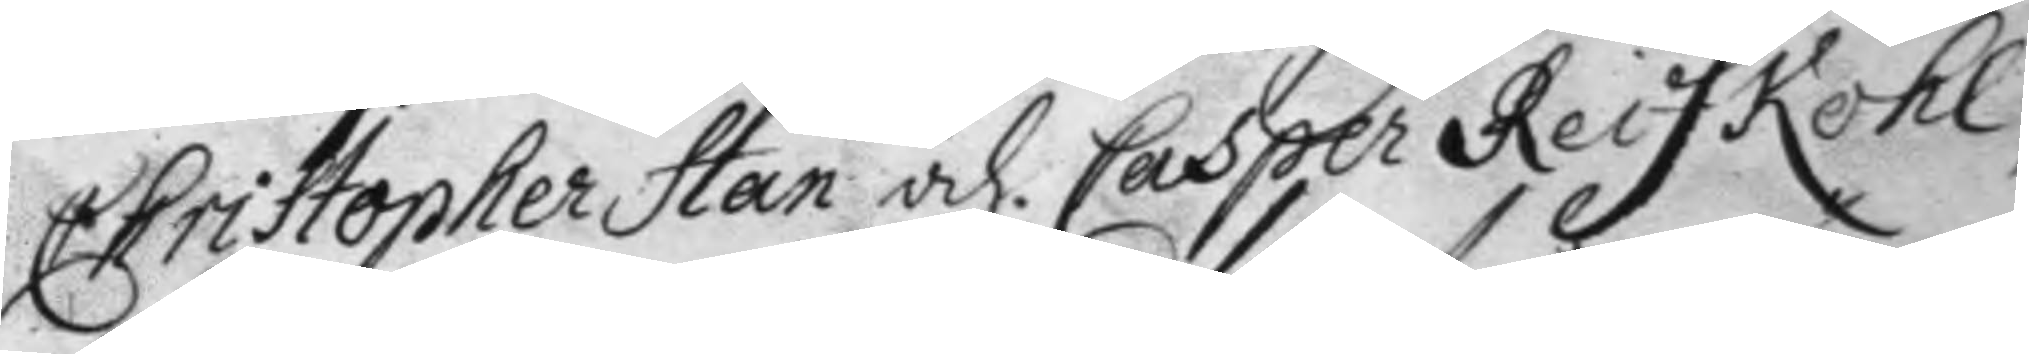Christopher Han och Casper Reifkohl
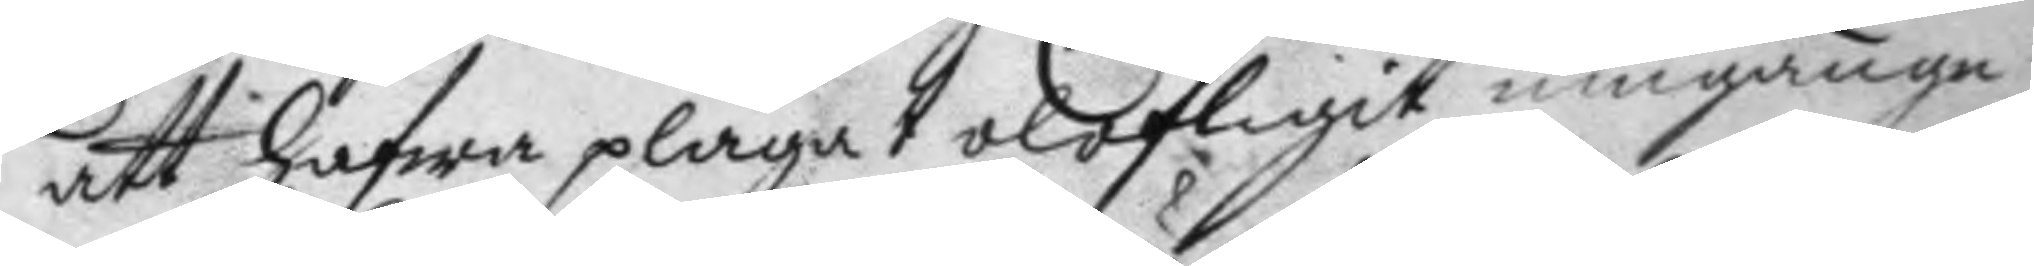att hafwa plägat olofligit umgänge
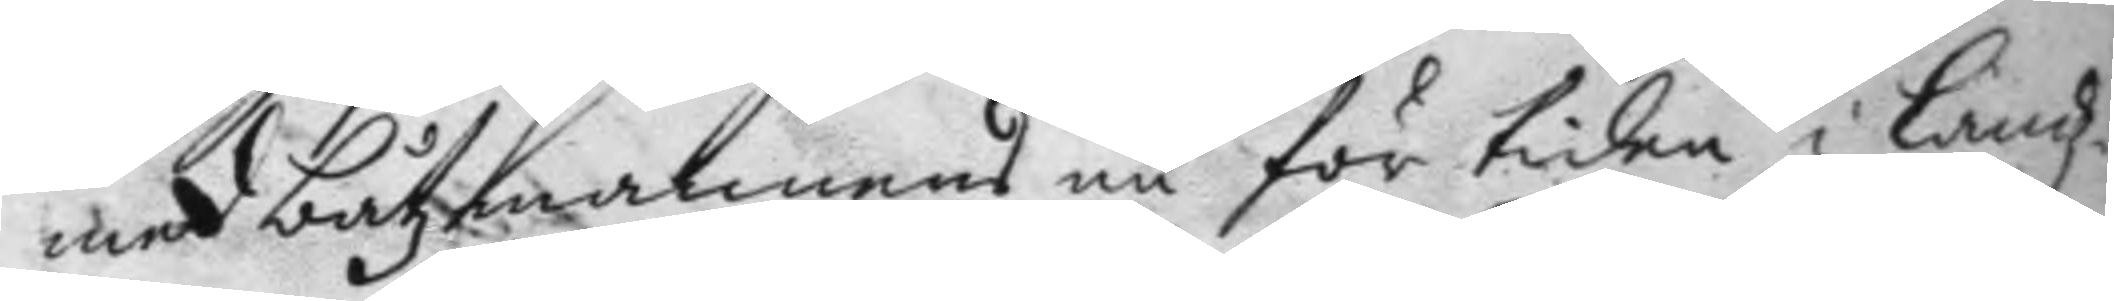med båtzmannens nu för tiden i Landz¬
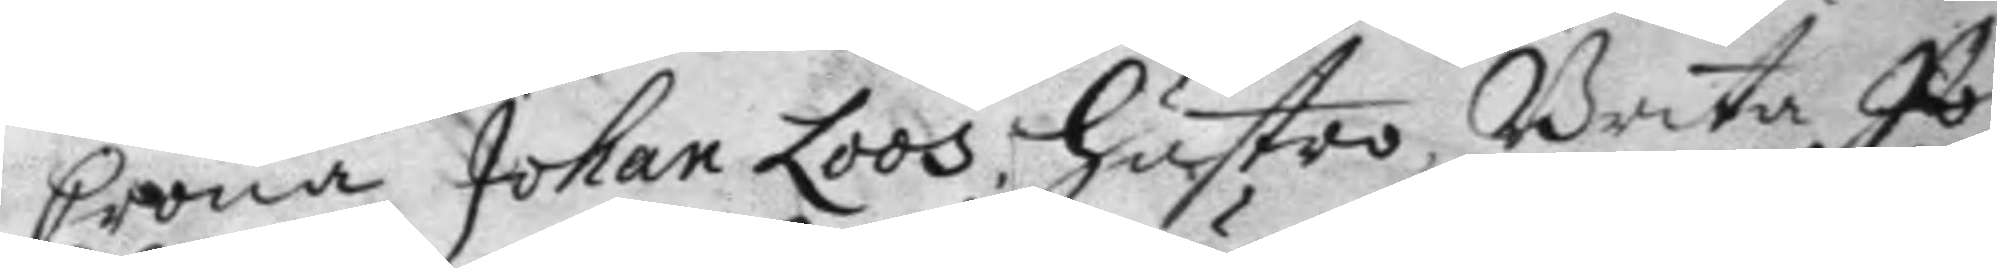Crona Johan Loos hustro, Brita Jo¬
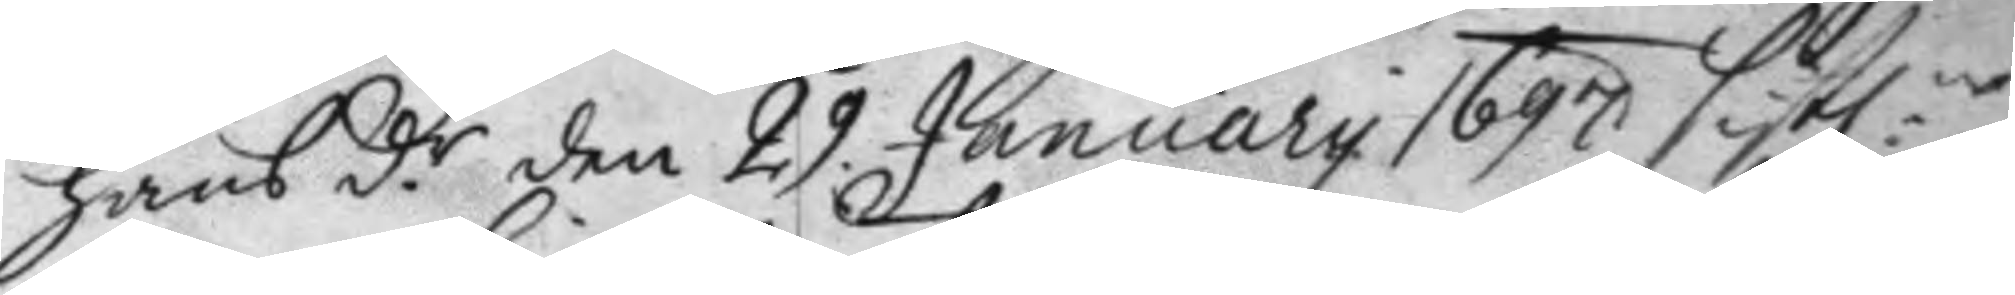hans d.r den 29 January 1697 sistl:ne 
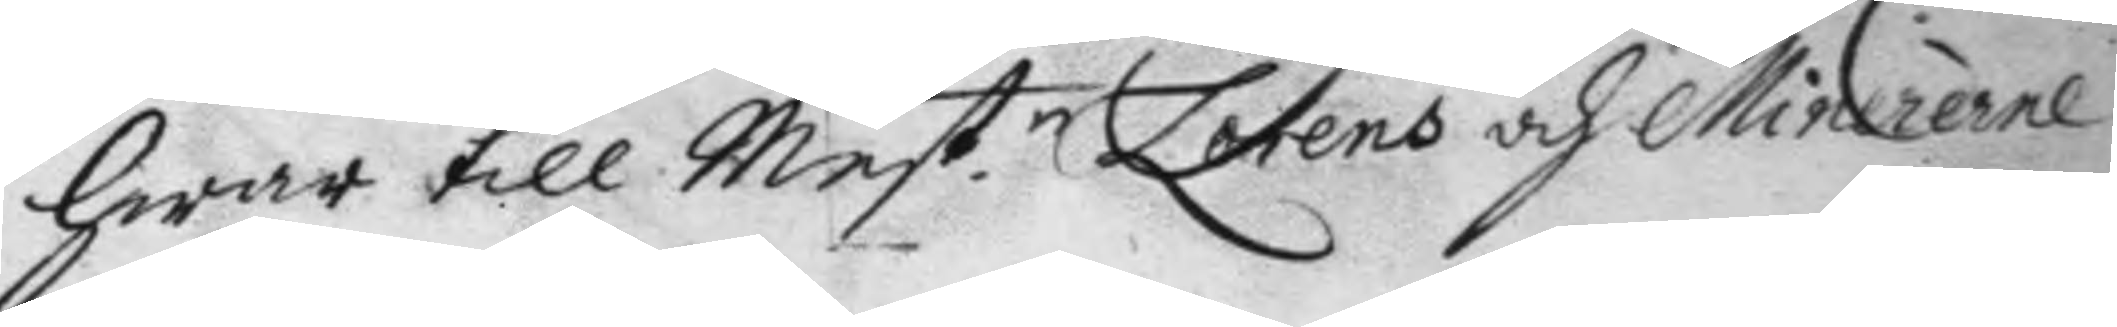hwar till Mest.n Lorens och Minererne 
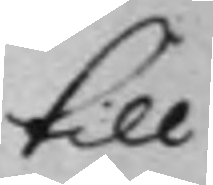till
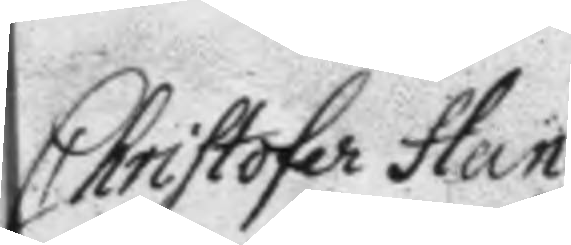Christofer Han
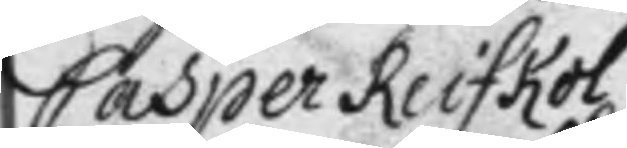Casper Reifkol
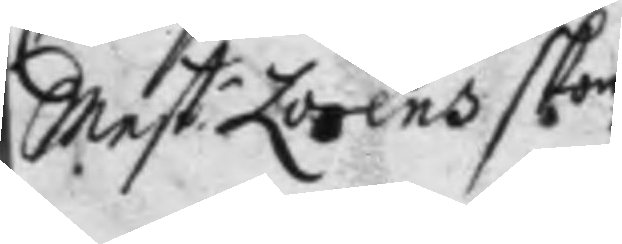Mest: Lorens skom 
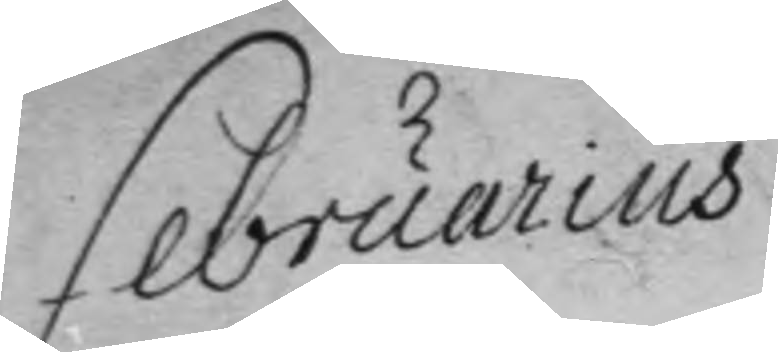Februarius
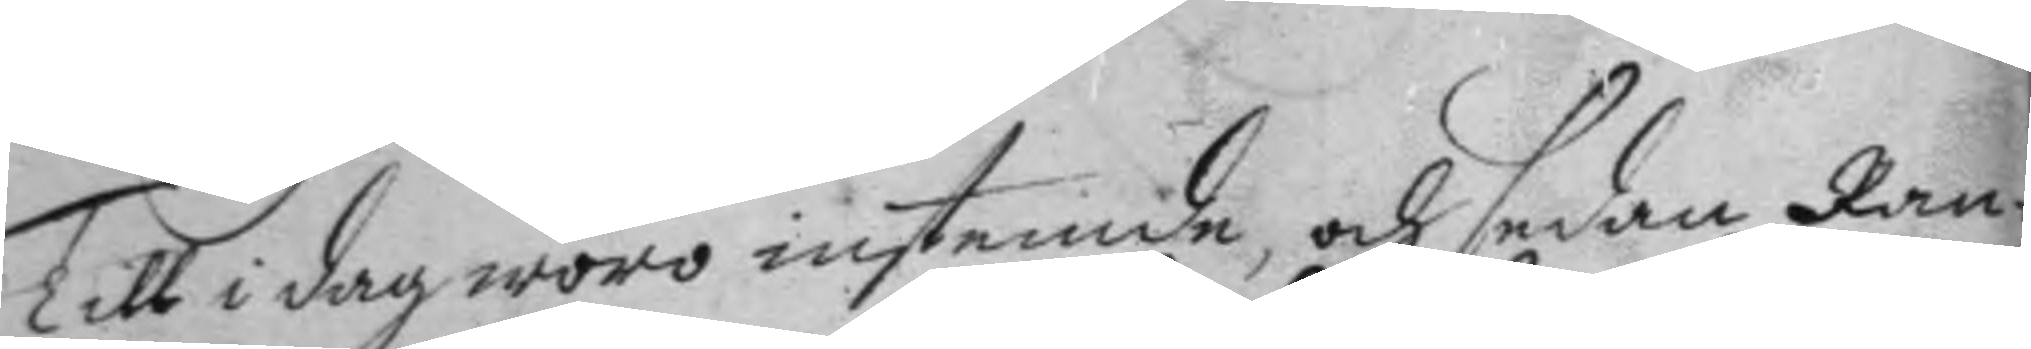Till i dag woro instemde, och sedan Ran¬
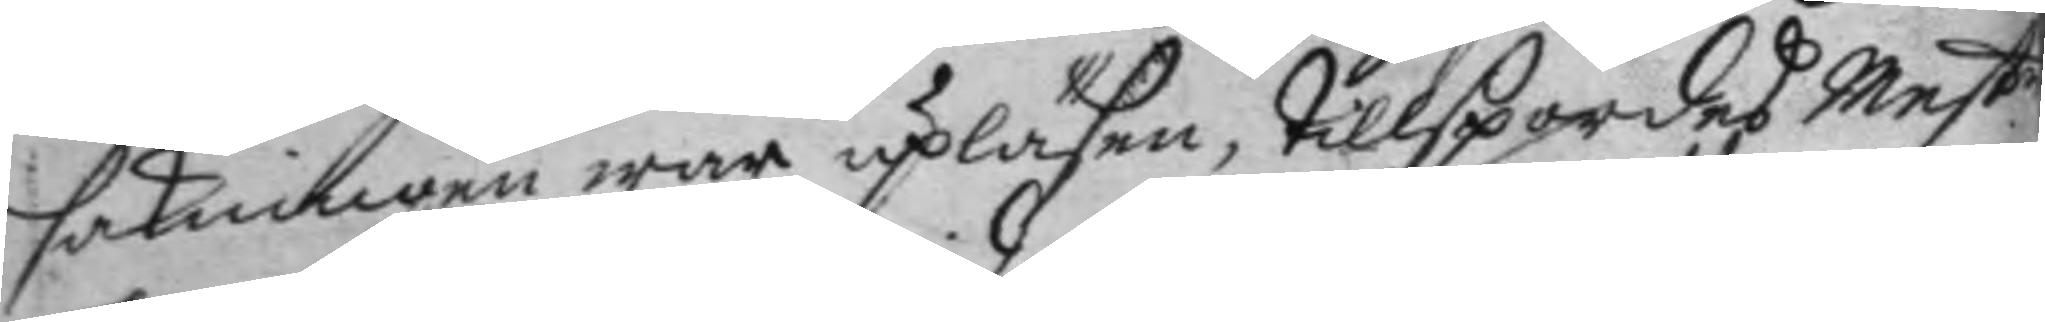sakningen war upläsen, tillspordes Mest.r
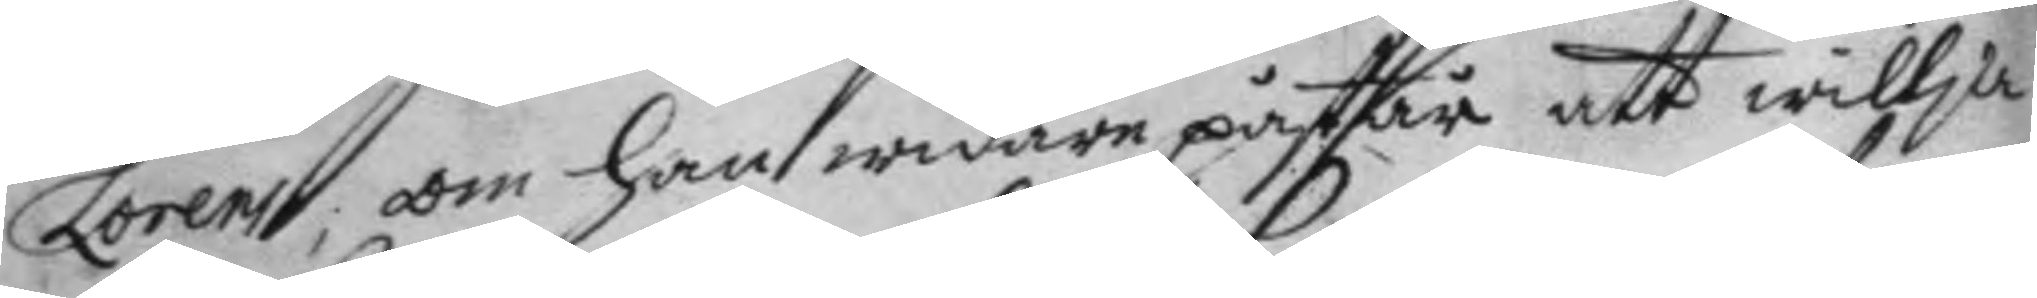Lorens, om han widare påstår att willja
